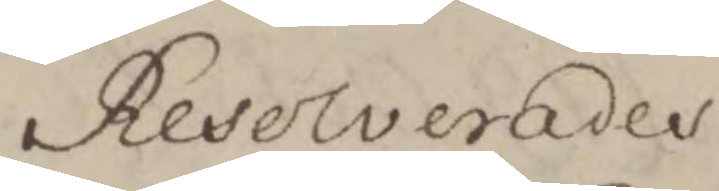Resolverades
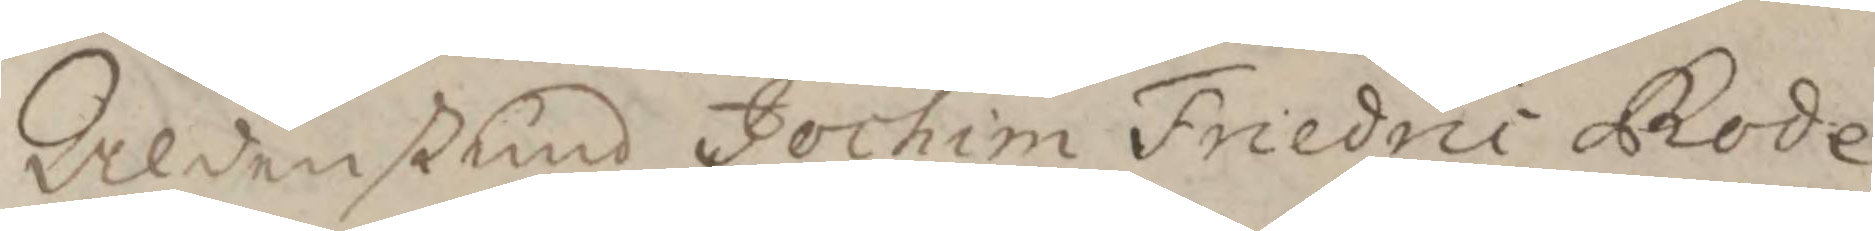Aldenstund Jochim Friedric Rode
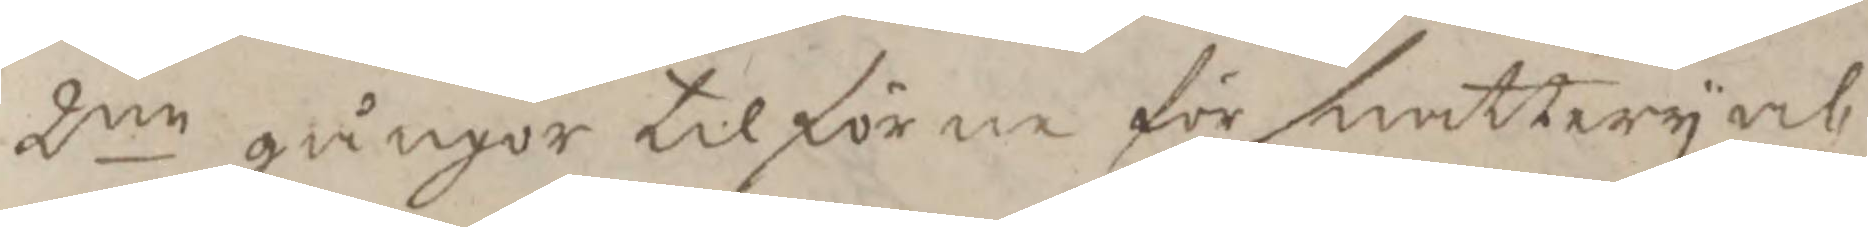2ne gånger tilförne för snattery och
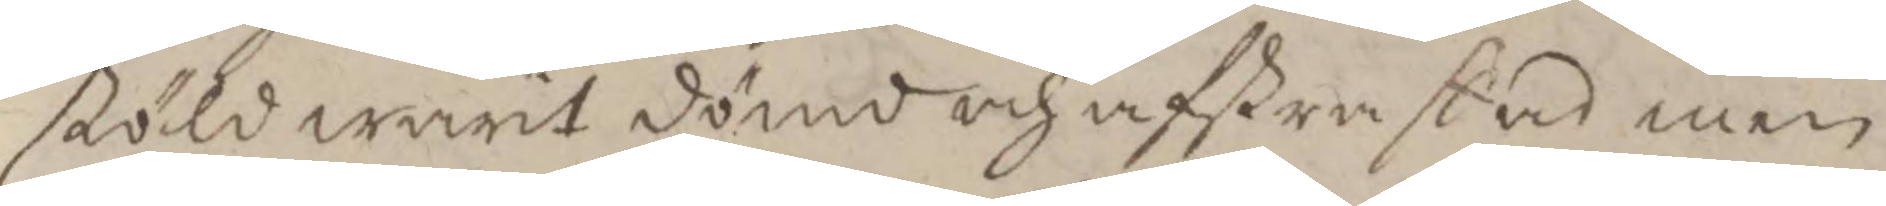stöld warit dömd och afstraffad med
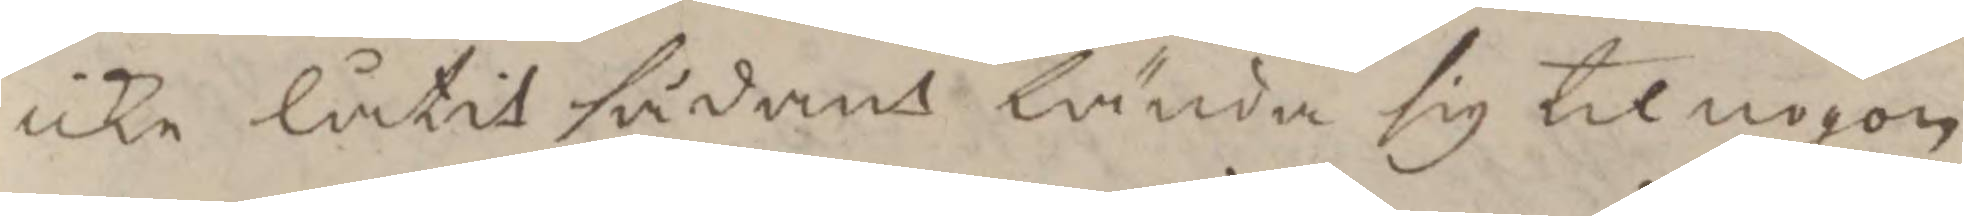icke låtit sådant lända sig til nogon
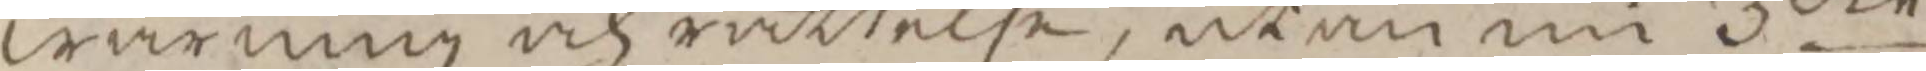warning och rättelse, utan nu 3die
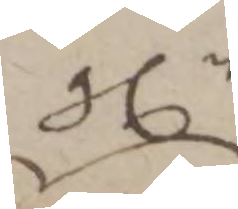gln
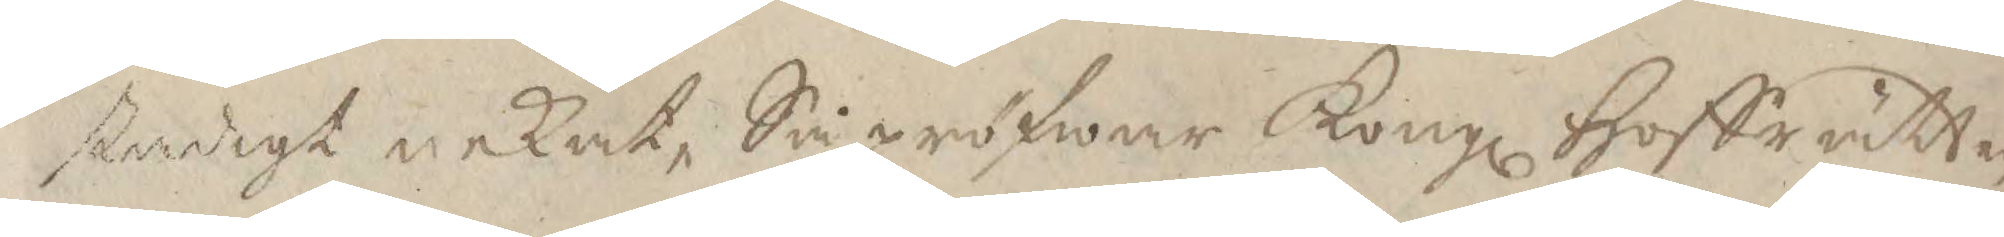stadigt nekat, Så pröfwar Kongl Hoffrätten
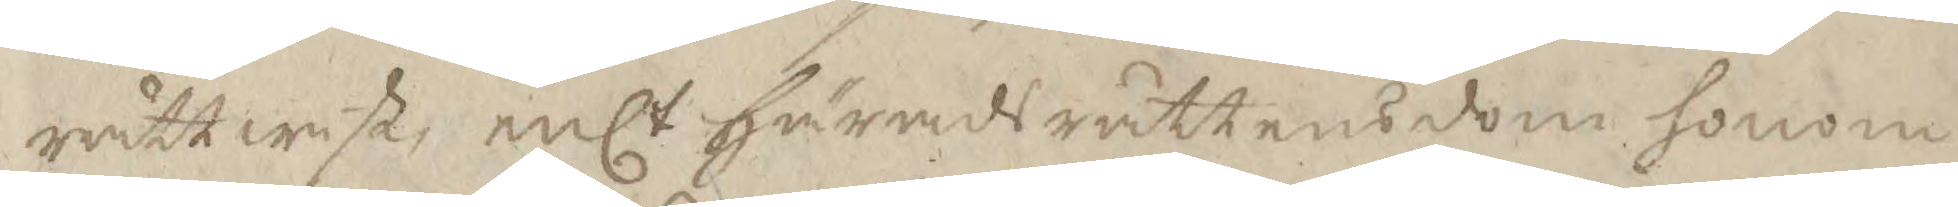rättwist, enlt Häradsrättens dom honom
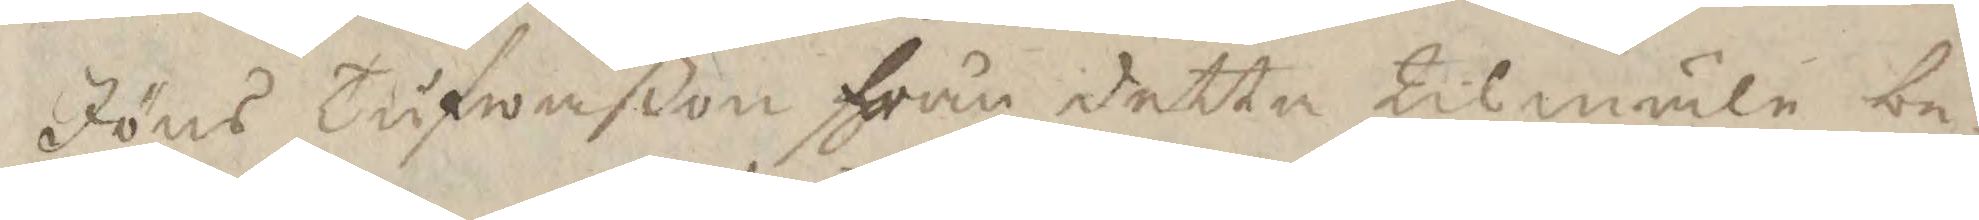Jöns Tufwaßon från detta Tilmäle be¬
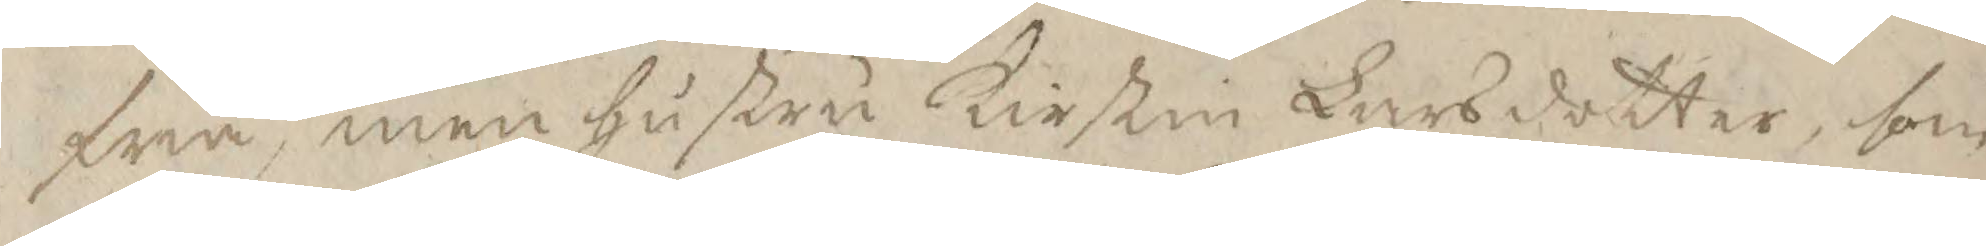fria, men hustru Kirstin Larsdotter, som
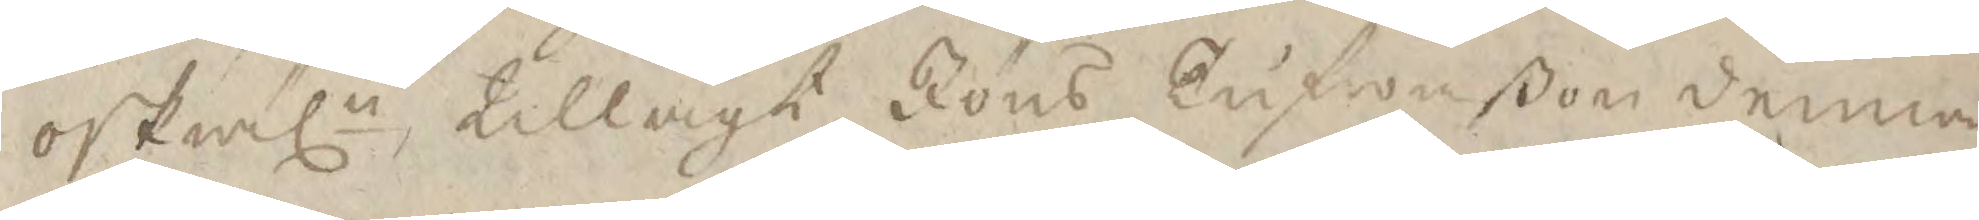oskäln tillagt Jöns Tufwaßon denna
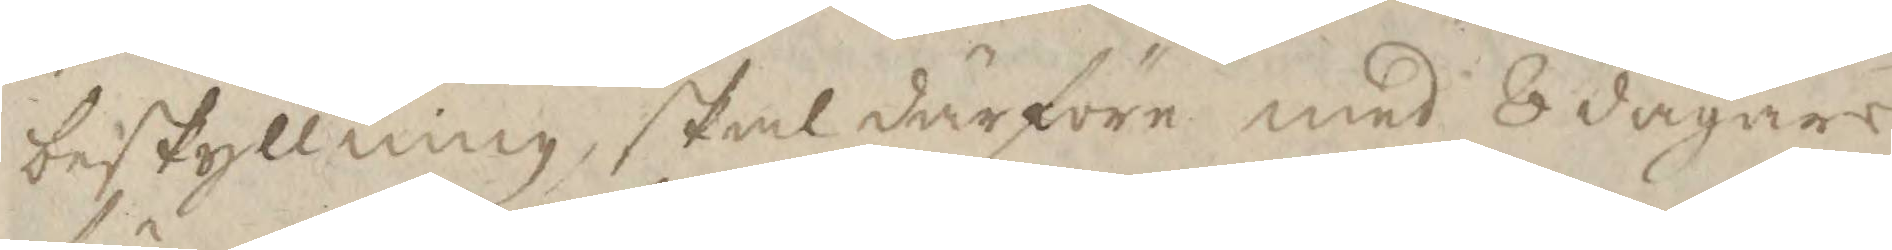beskyllning, skal därföre med 8 dagars
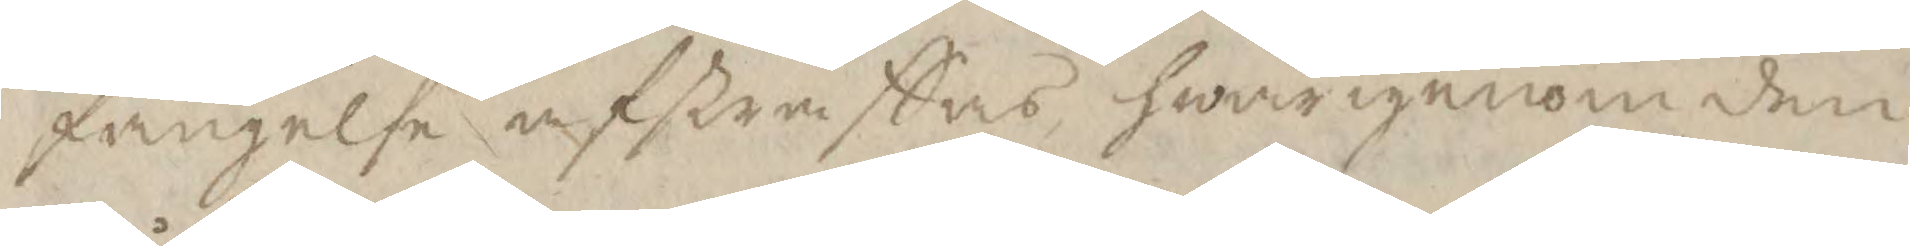fängelse afstraffas hwarigenom den
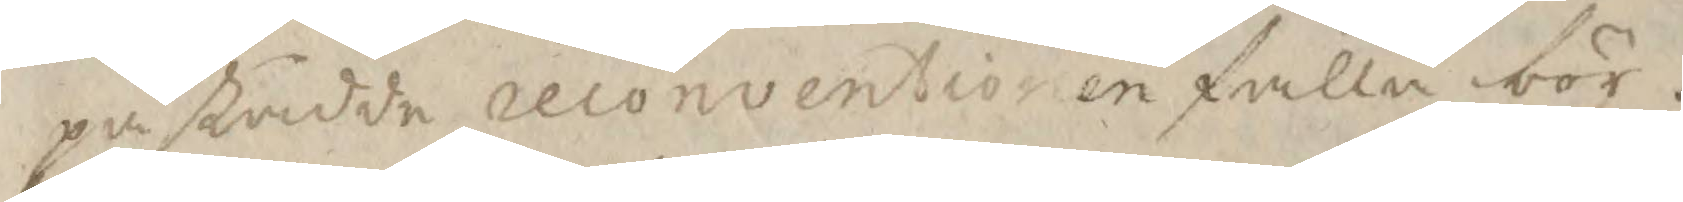påstådde reconventionen falla bör.
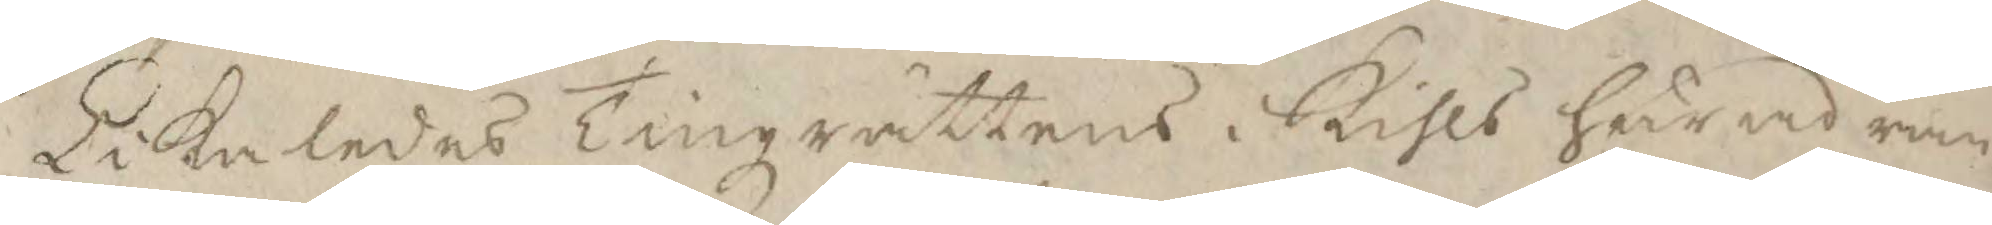Likaledes Tingzrättens i Kihls härad ran¬
